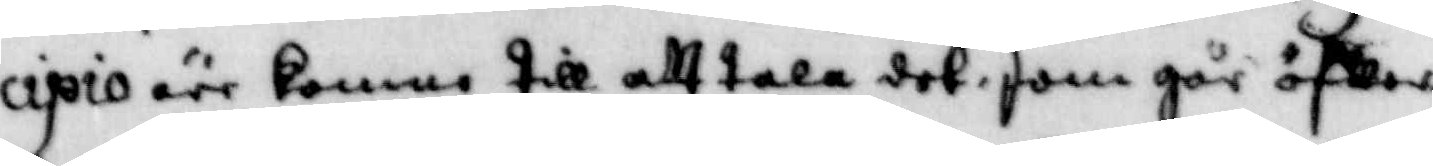cipio äre komne till att ttala det som går öfwer
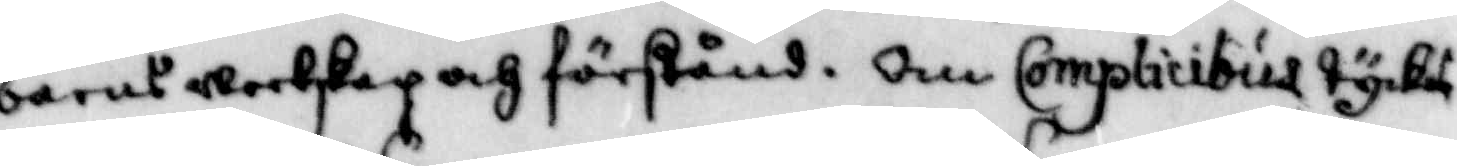barns weetskap och förstånd, Om Complicibus tyckes
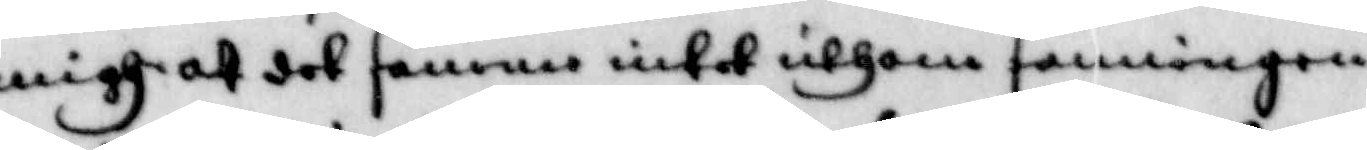migh att det samma intet uthom sanningen
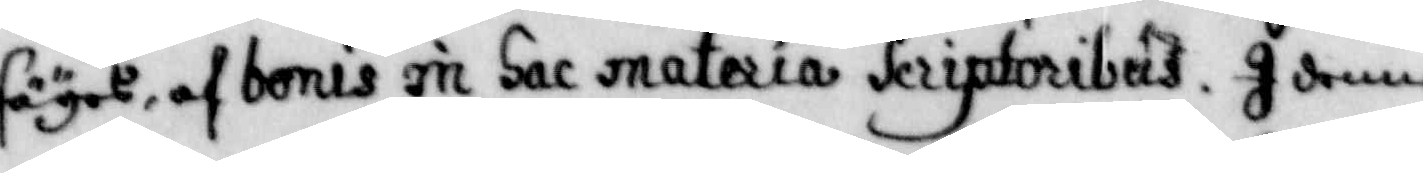säyes, af bonis in Sac materia Seriptoribus. I denne
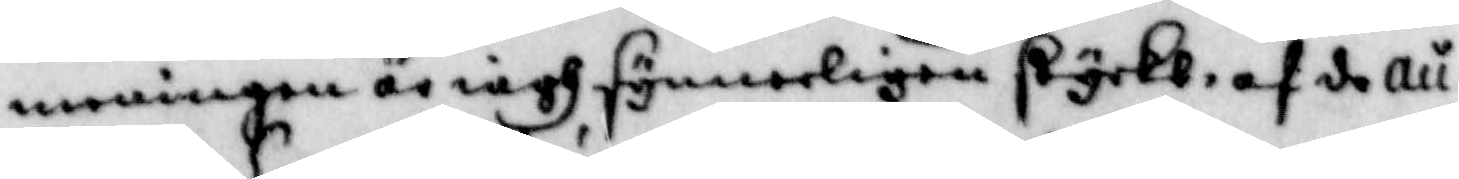meningen är iagh synnerligen styrkt, af de au¬
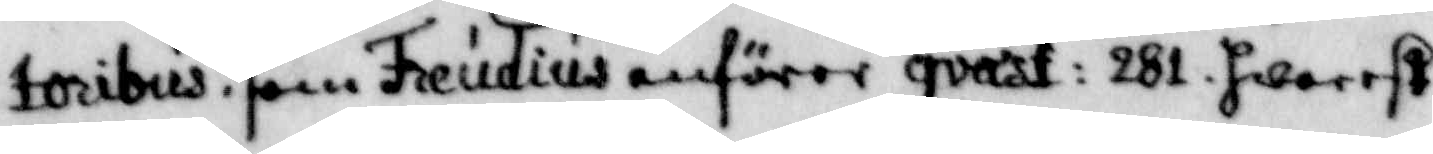toribus, som Freudius anförer qvast: 282, hwarest
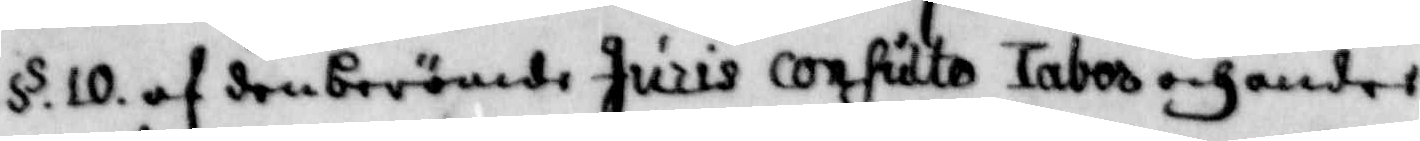§ 10, af den berömde Juris confidto tabor och andre
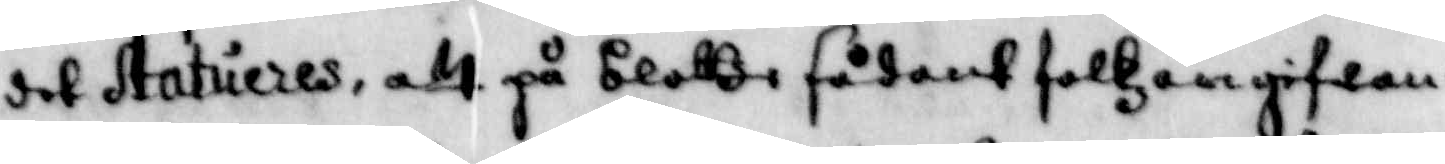det Stattueres, att på blottze sådant folkz angifwan¬
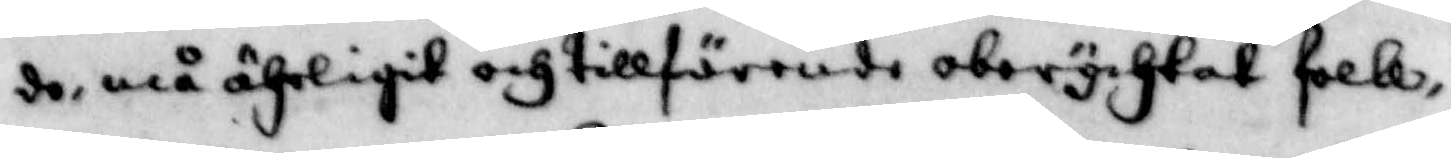de, må ährligit och tillförende oberychtat folk,
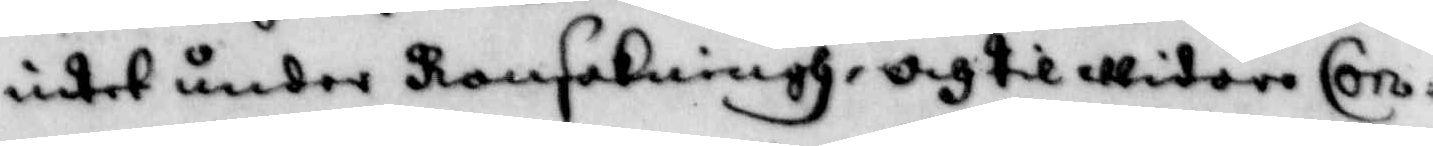intet under Ransakningh, och til widare Con¬
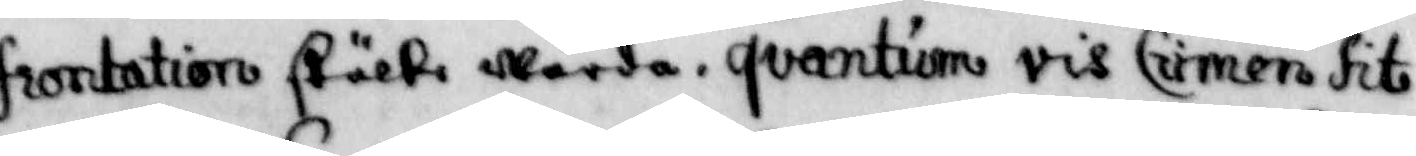frontation stälte warda, qvantum vis Crimen fit
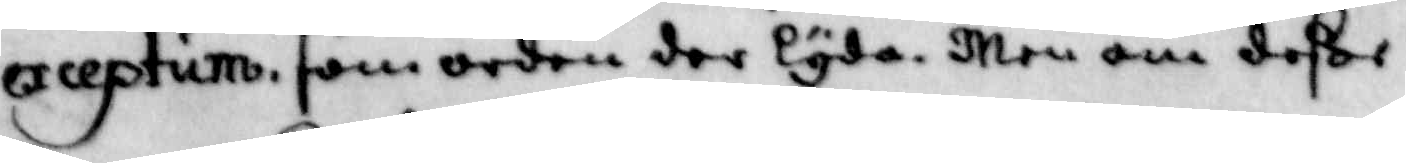exceptum, som orden der lyda. men om deße
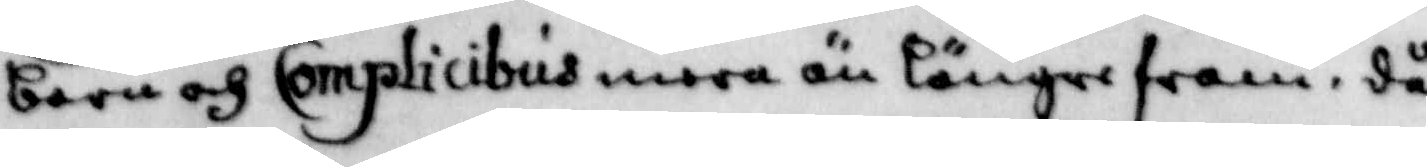barn och Complicibus mera än längre fram, då
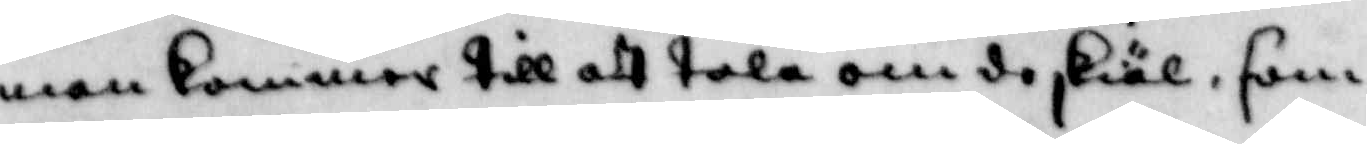man kommer till att tala om de skiäl, som
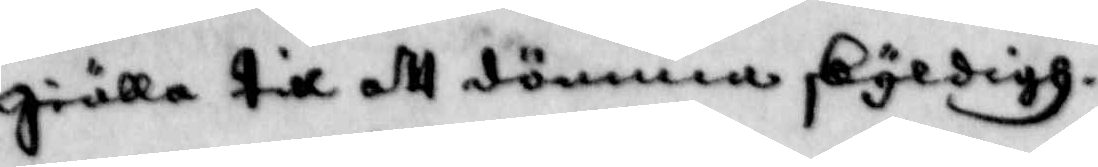giälla till att dömma skyldigh.
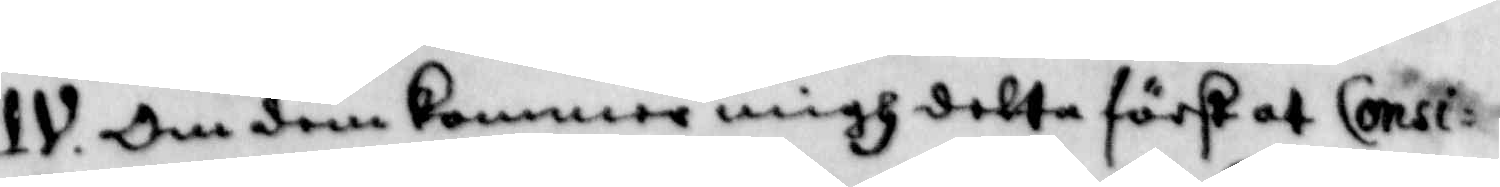IV. Om dem komer migh detta först at Consi¬
